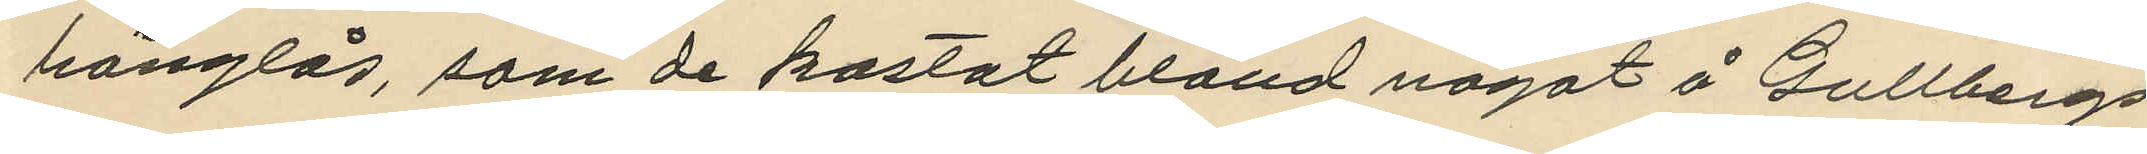hänglås, som de kastat bland något å Gullbergs
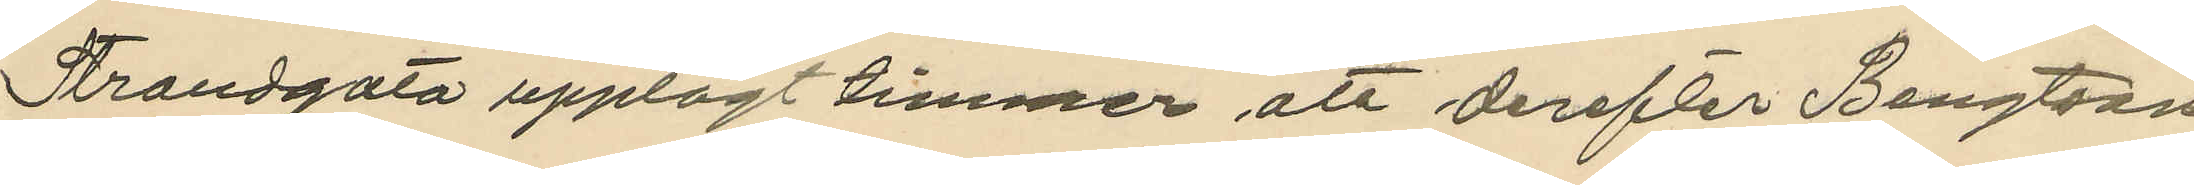Strandgata upplagt timmer att derefter Bengtson
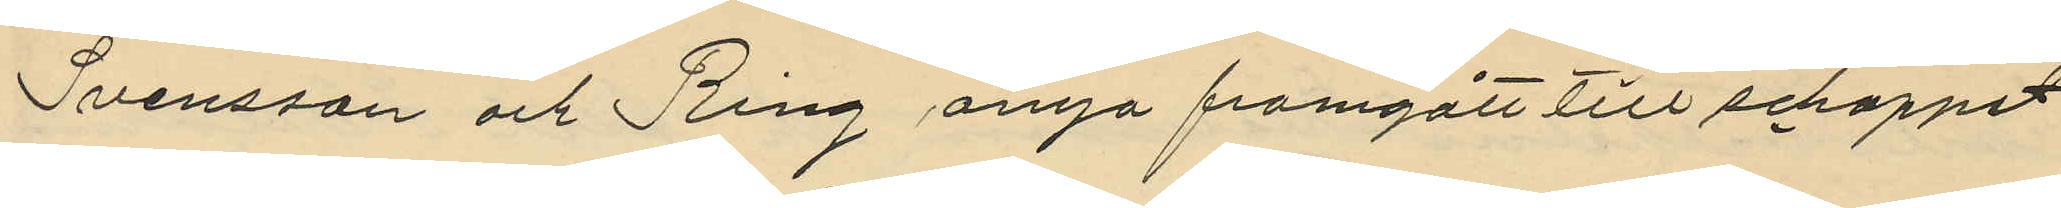Svensson och Ring ånyo framgått till schappet
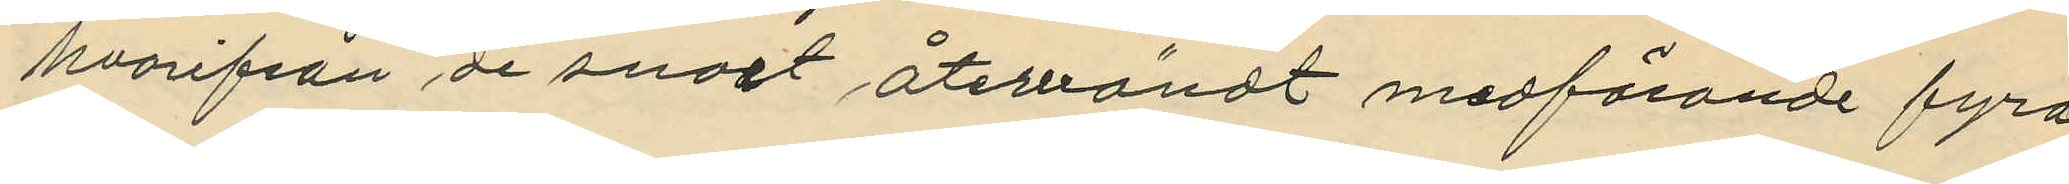hvarifrån de snart återvändt medförande fyra
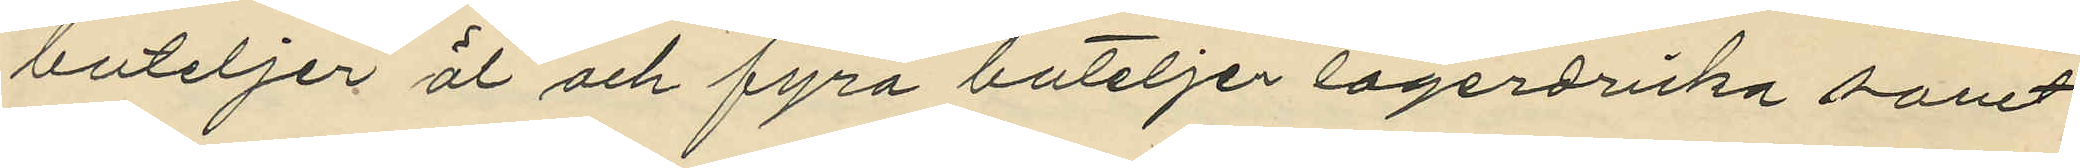buteljer öl och fyra buteljer lagerdricka samt
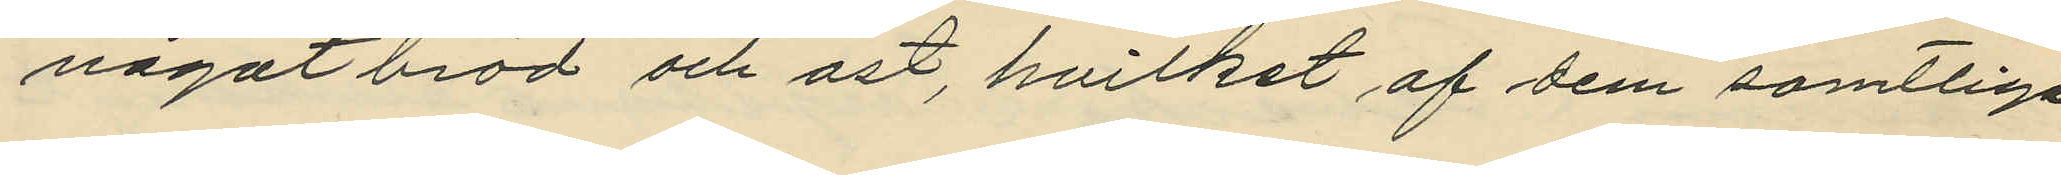något bröd och ost, hvilket af dem samtlige
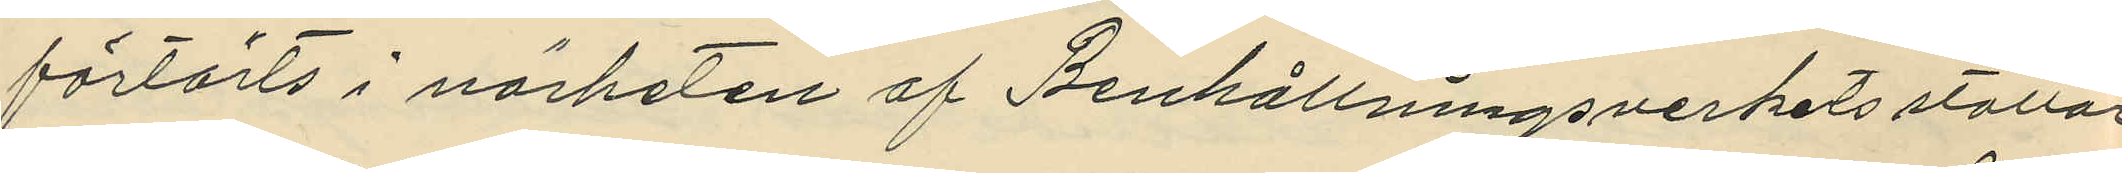förtärts i närheten af Renhållningsverkets stallar,
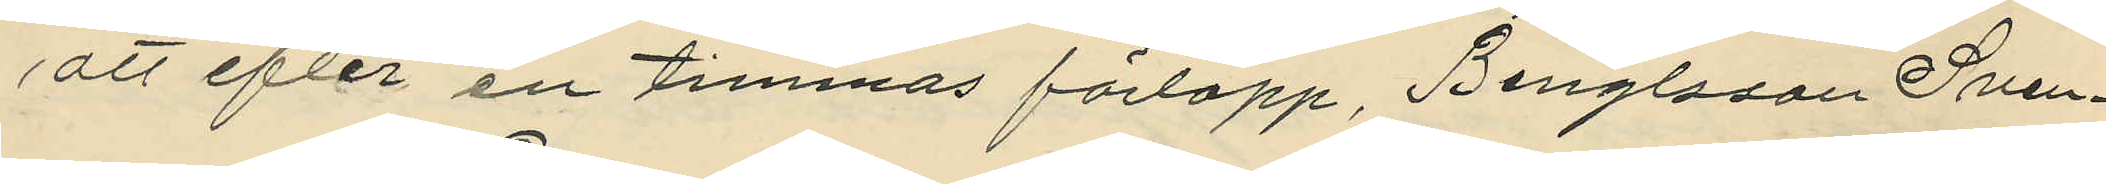att efter en timmas förlopp, Benglsson Sven¬
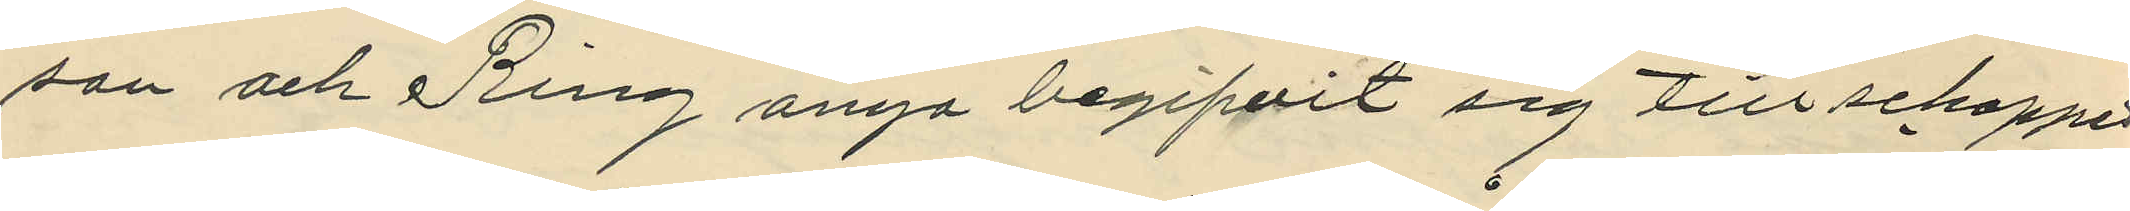son och Ring ånyo begifvit sig till schappet
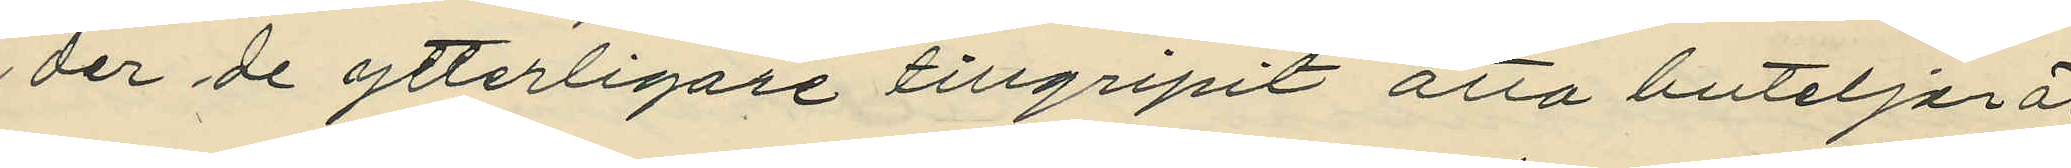der de ytterligare tillgripit åtta buteljer öl
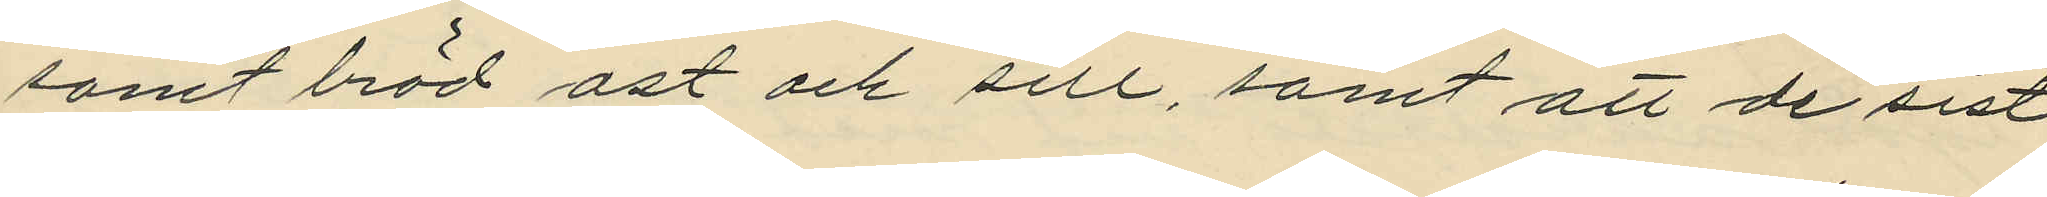samt  bröd ost och sill, samt att de sist
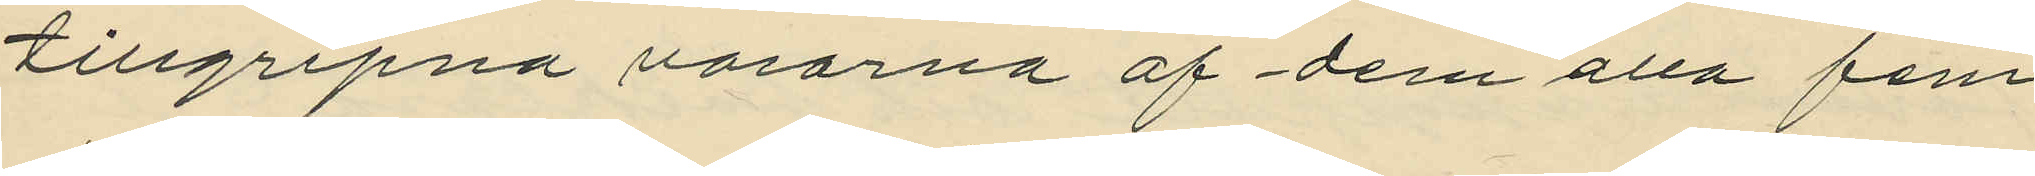tillgripna varorna af dem alla fem
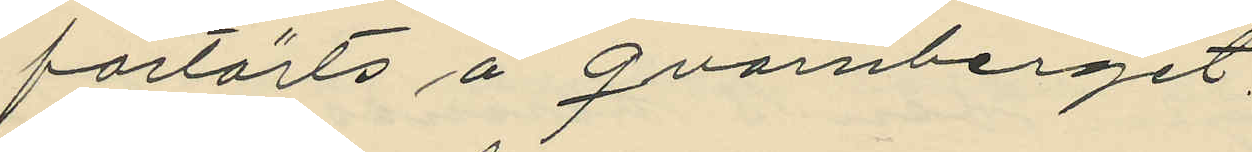förtärts å Qvarnberget.
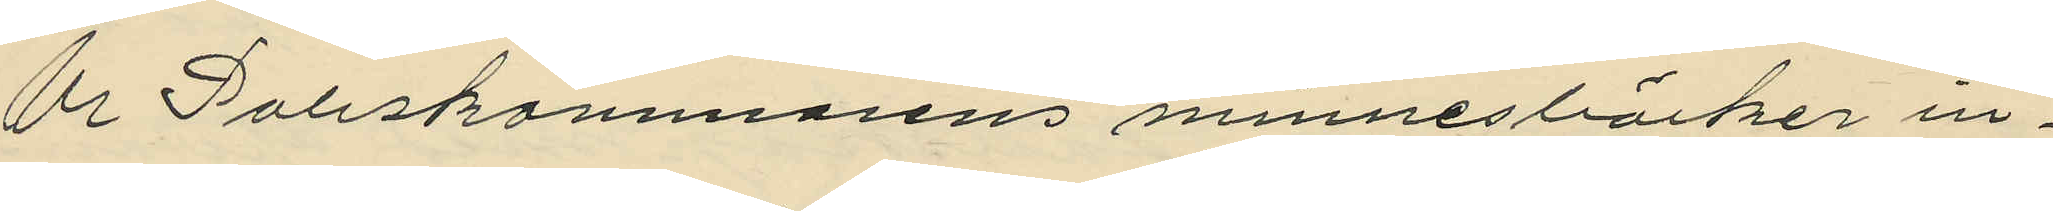Ur Poliskammarens minnesböcker in¬
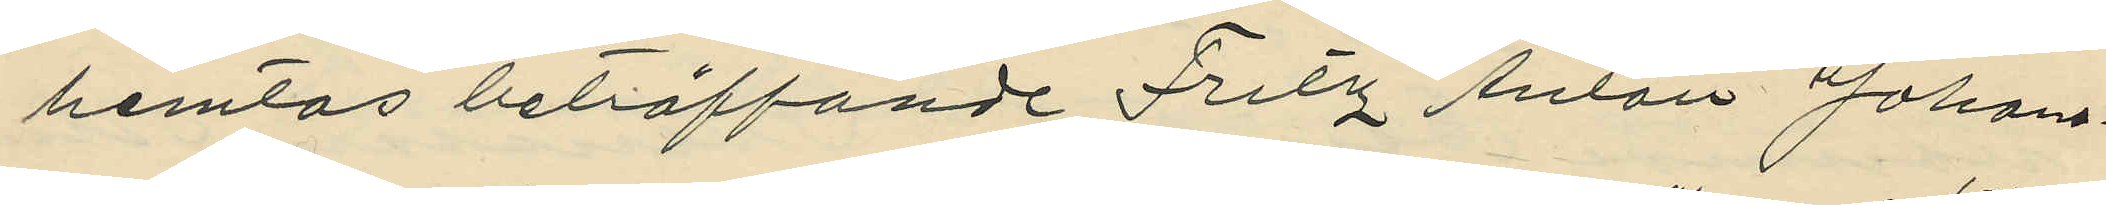hemtas beträffande Fritz Anton Johans¬
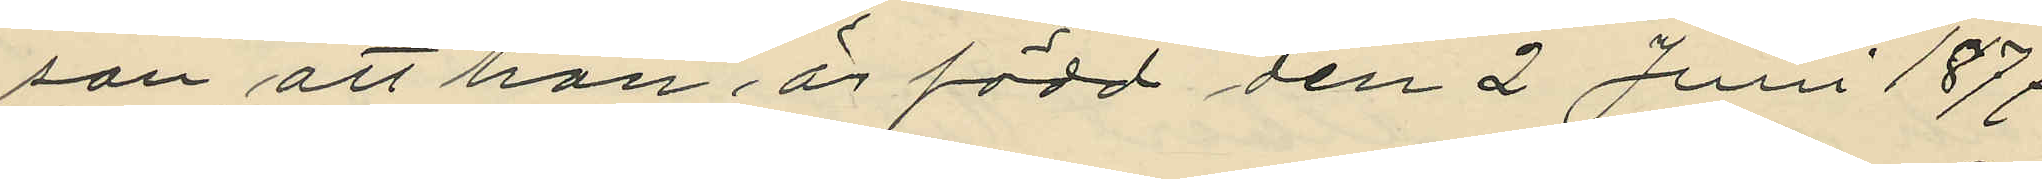son att han är född den 2 Juni 1877
